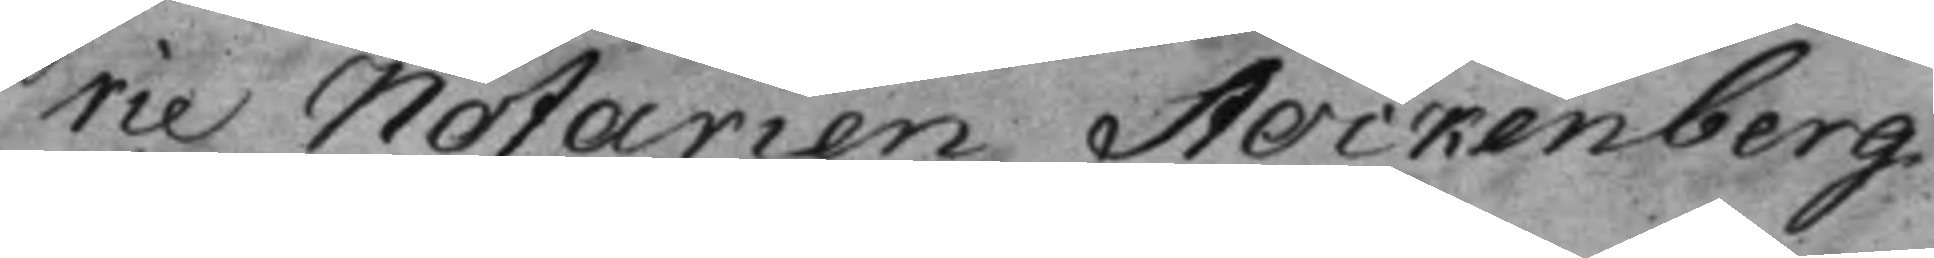rie Notarien Stockenberg
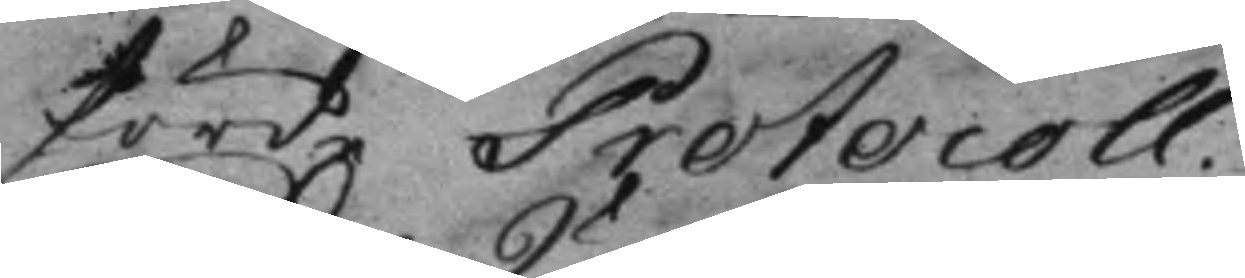förde Protocoll.
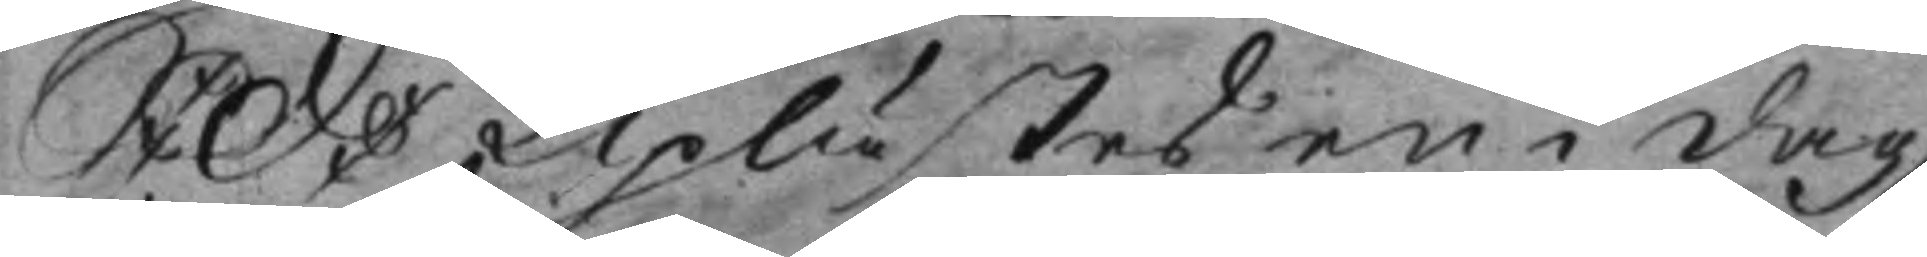S: D: Uplästes en i dag
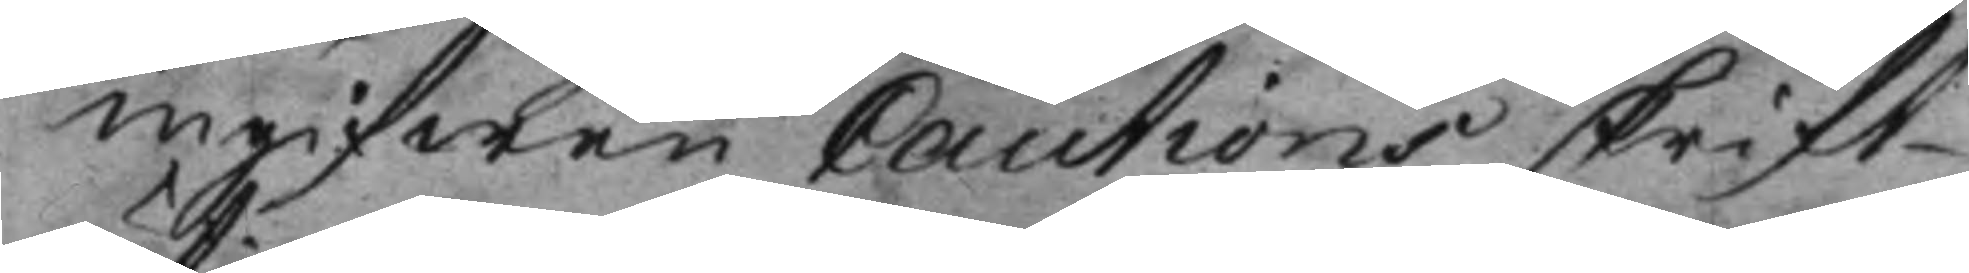ingifwen Cautionsskrift
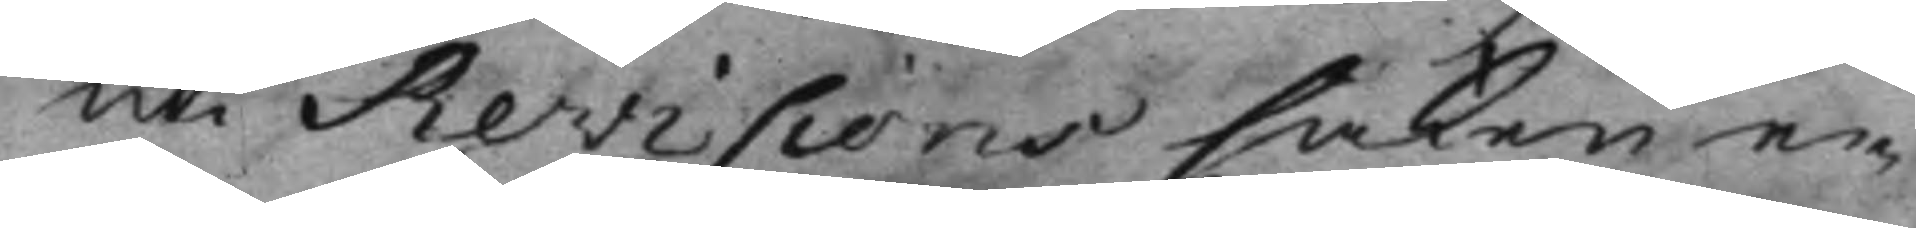uti Revisions saken e¬
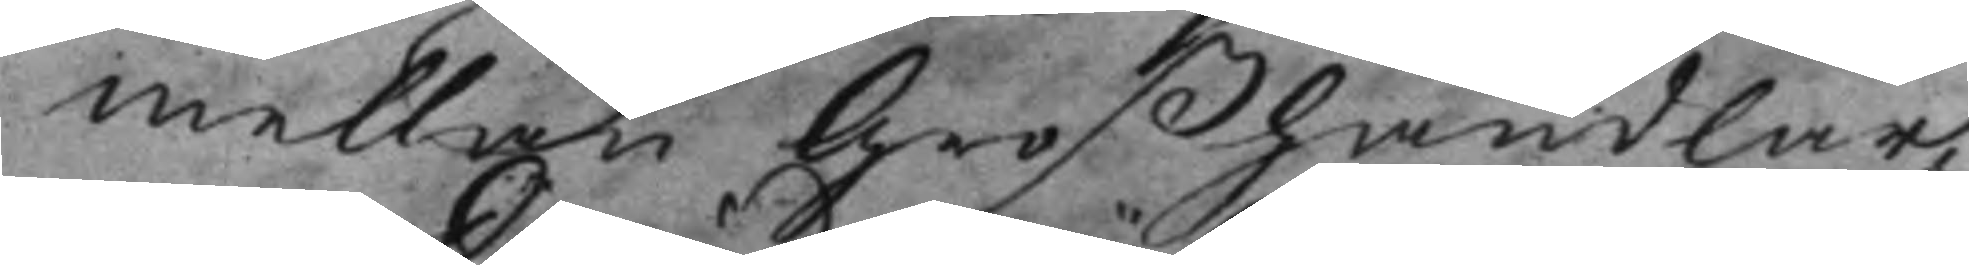mellan Großhandlar¬
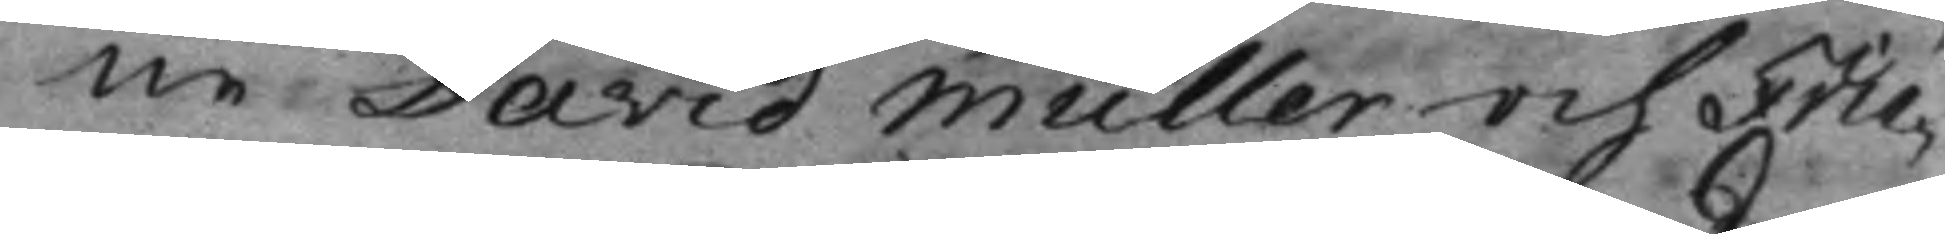ne David Müller och Frie¬
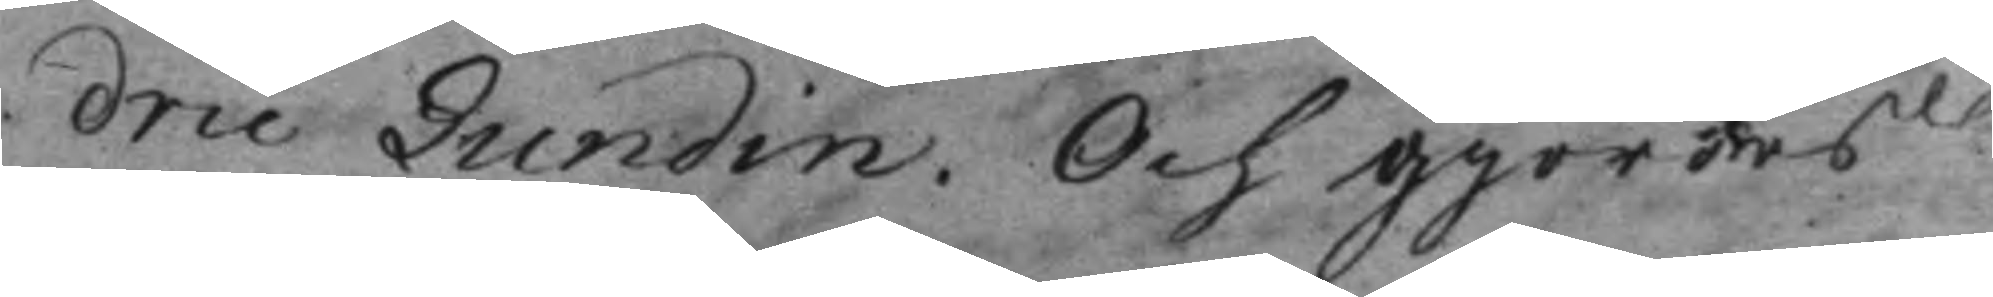dric Lundin. Och gjordes
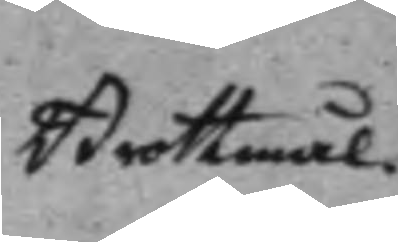Brottmål.
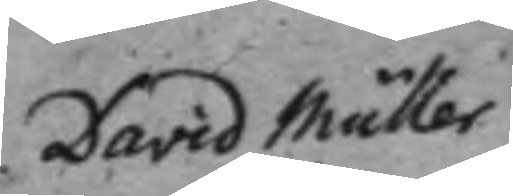David Müller
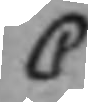C
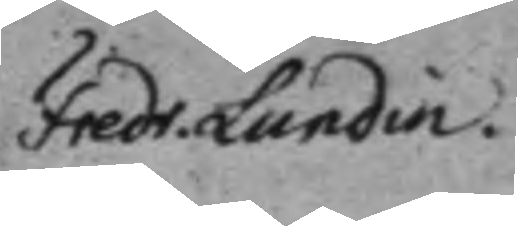Fredr. Lundin.
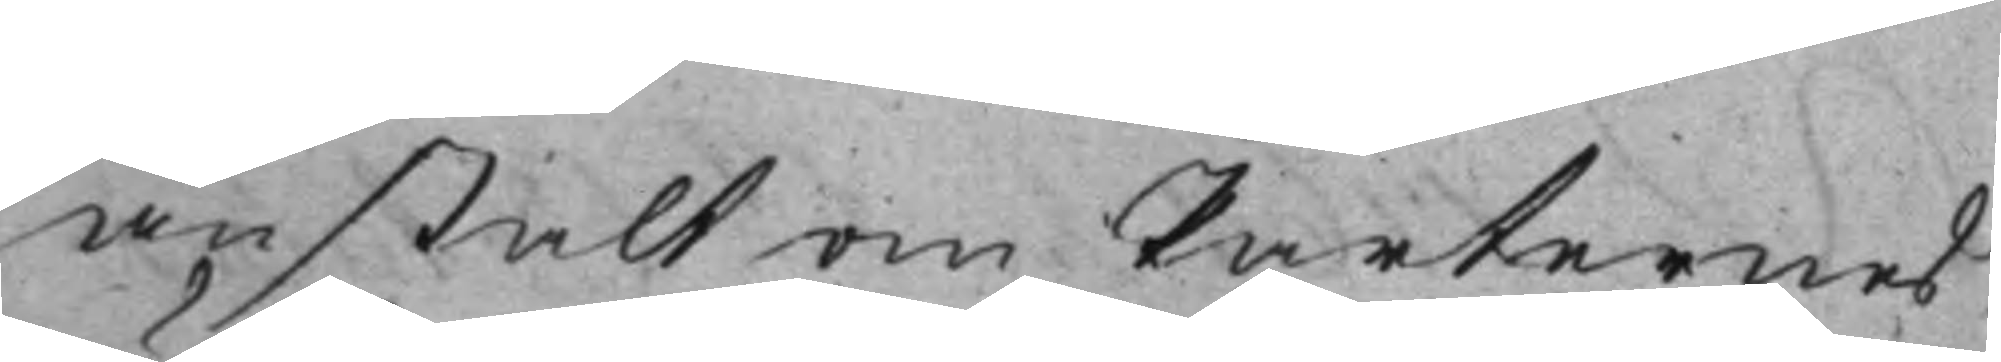anstalt om Parternes
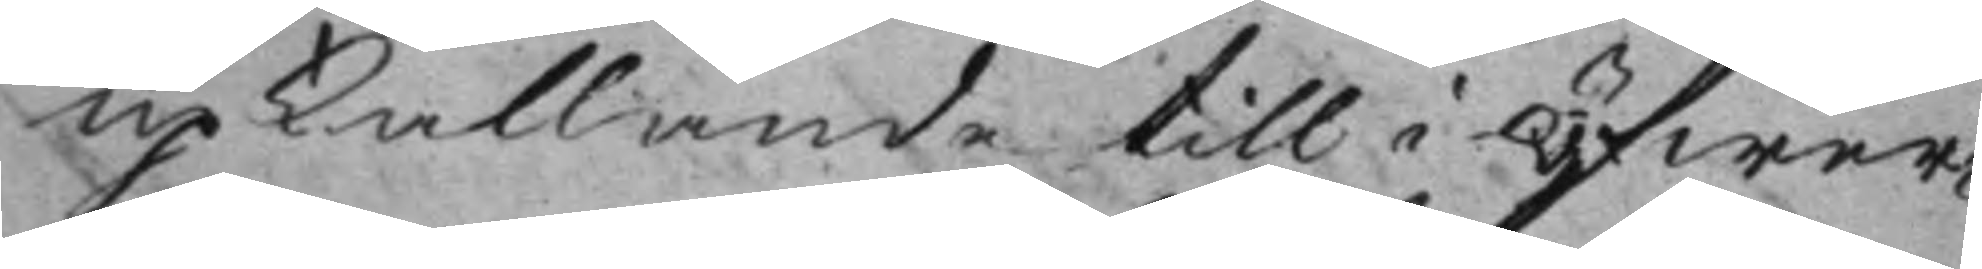upkallande till i öfwer¬
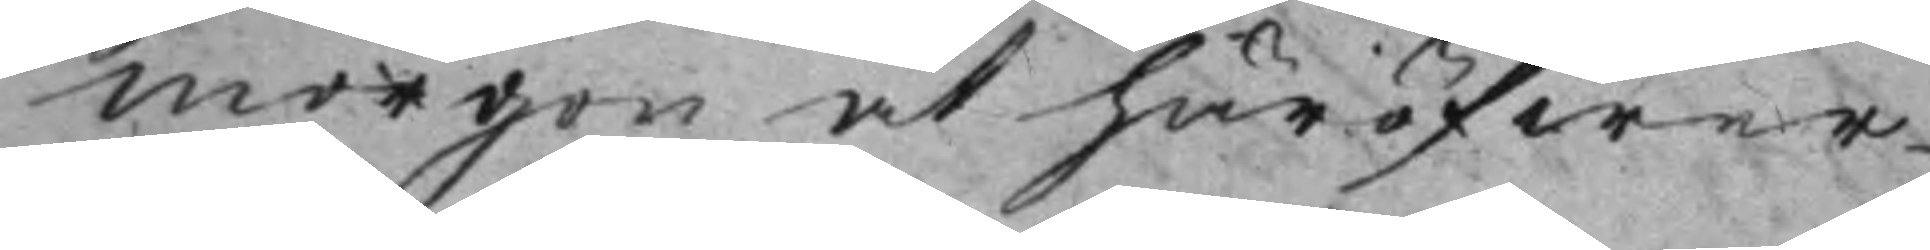morgon at häröfwer
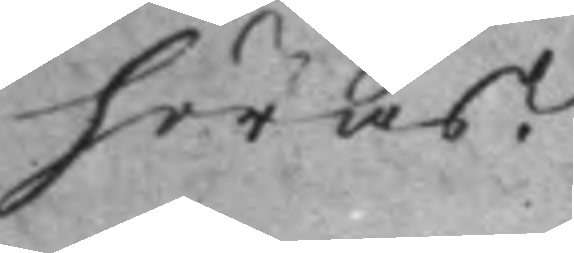höras.
